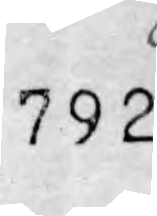792
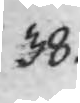38.
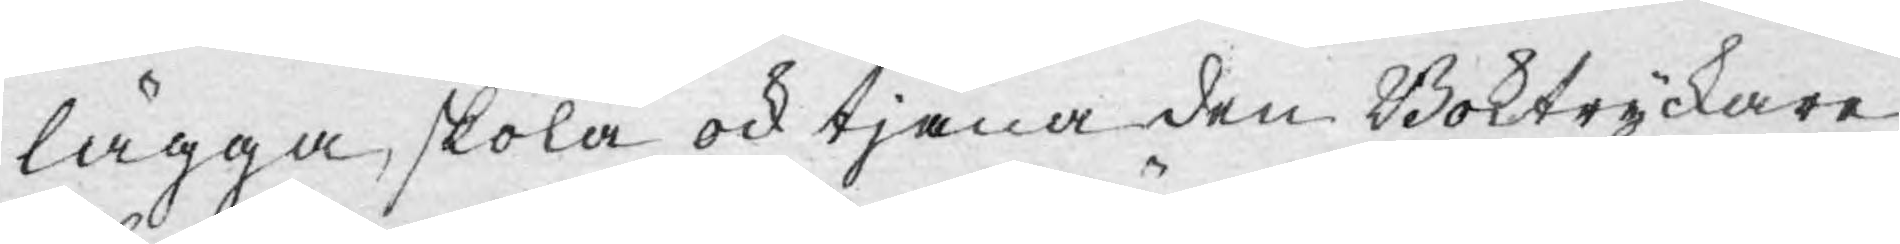lägga, skola ock tjäna den Boktryckare
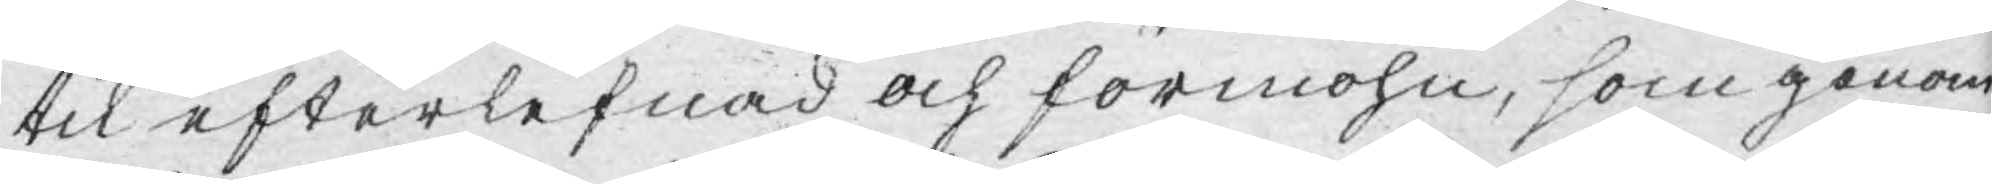til efterlefnad och förmohn, som genom
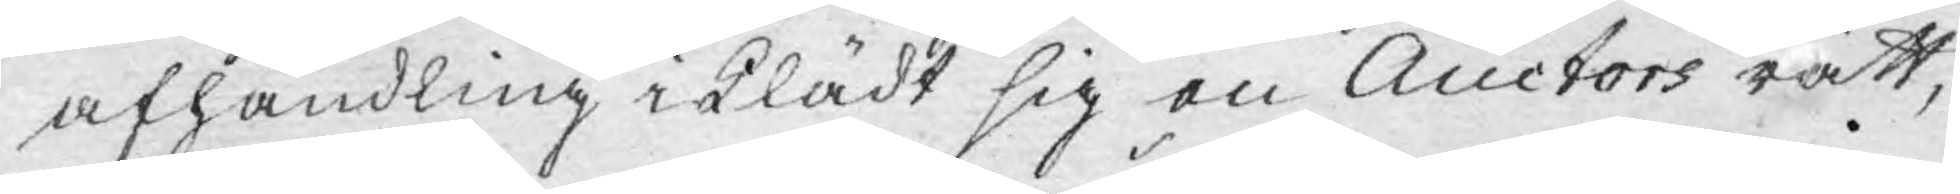afhandling iklädt sig en Auctors rätt,
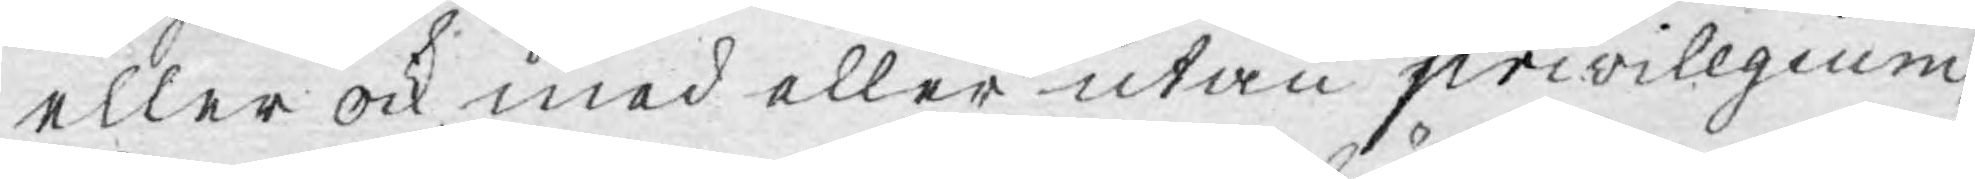eller ock med eller utan privilegium,
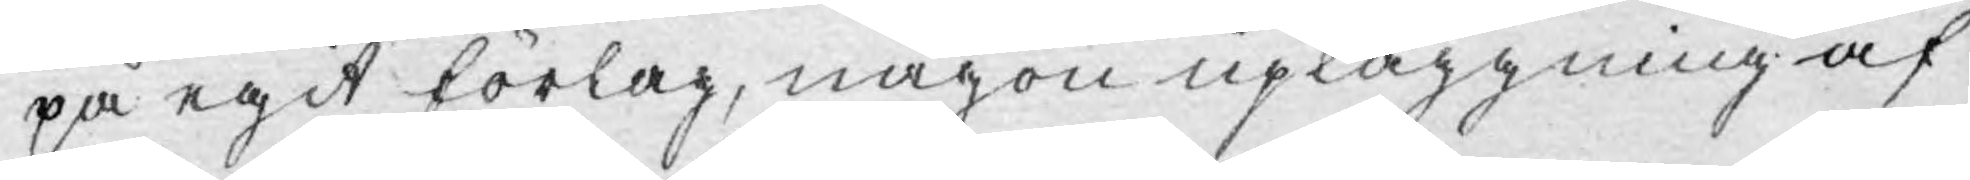på egit förlag, någon upläggning af
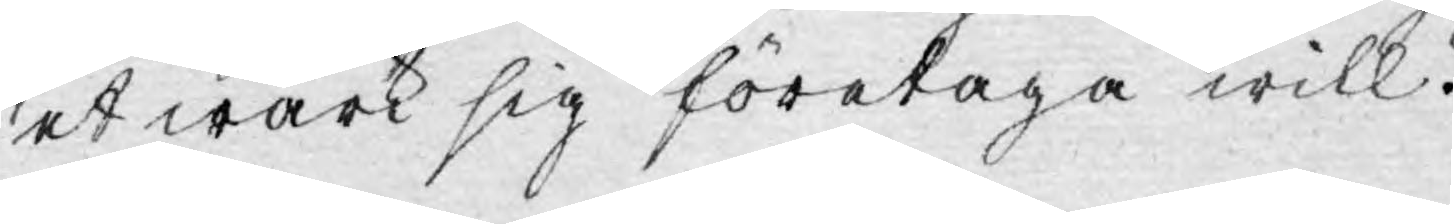et wärk sig företaga will.
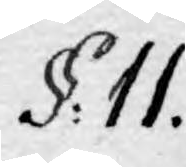§. 11.
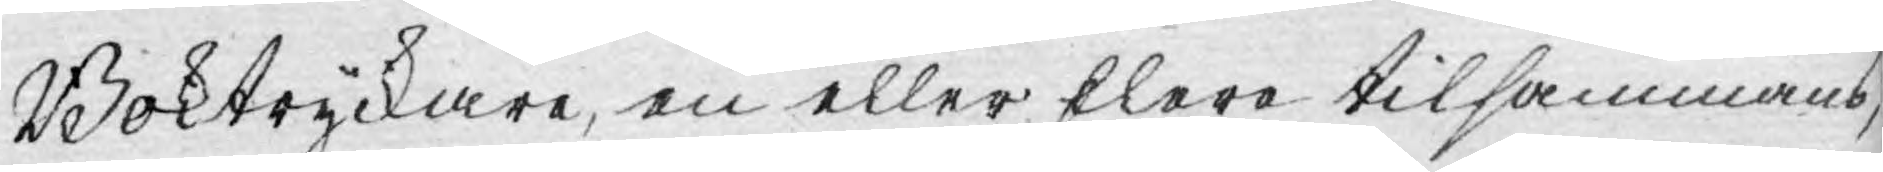Boktryckare, en eller flere tilsammans,
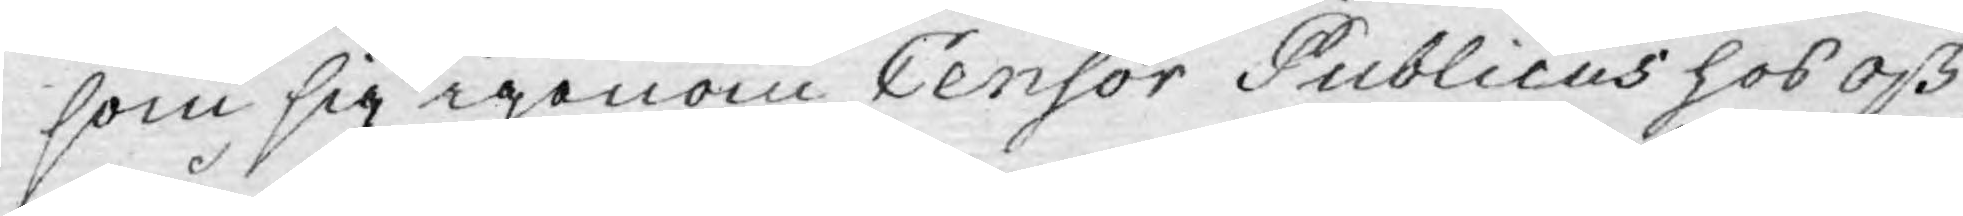som sig igenom Censor Publicus hos oß
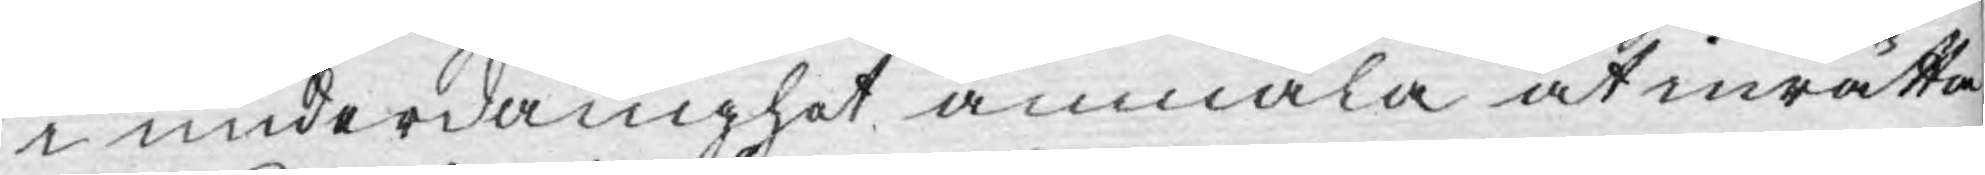i underdånighet anmäla at inrätta
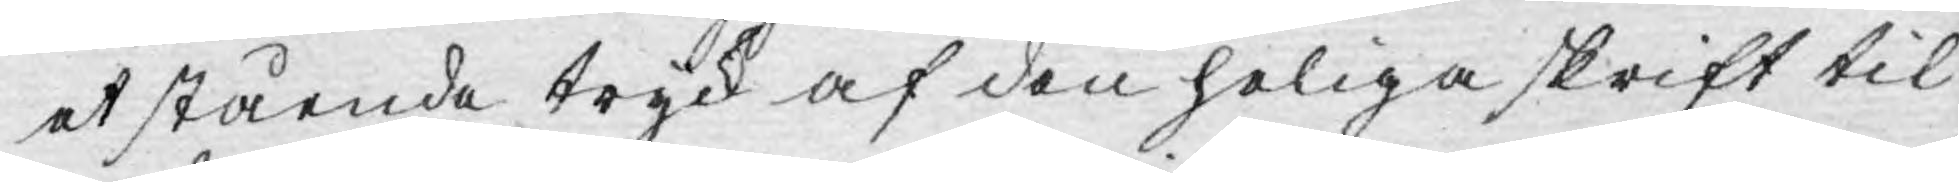et stående tryck af den heliga skrift til
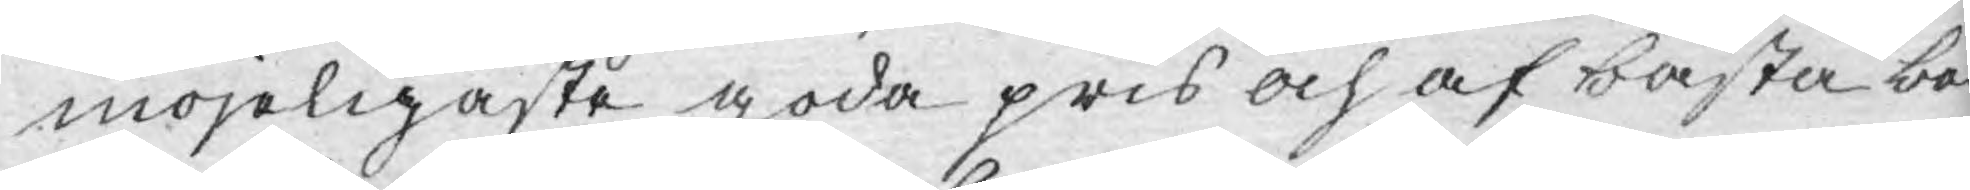möjeligaste goda pris och af bästa be¬
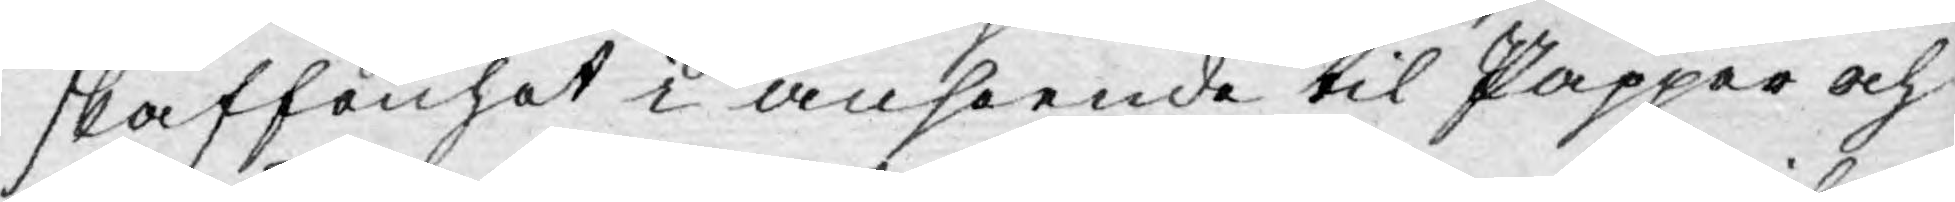skaffenhet i anseende til Papper och
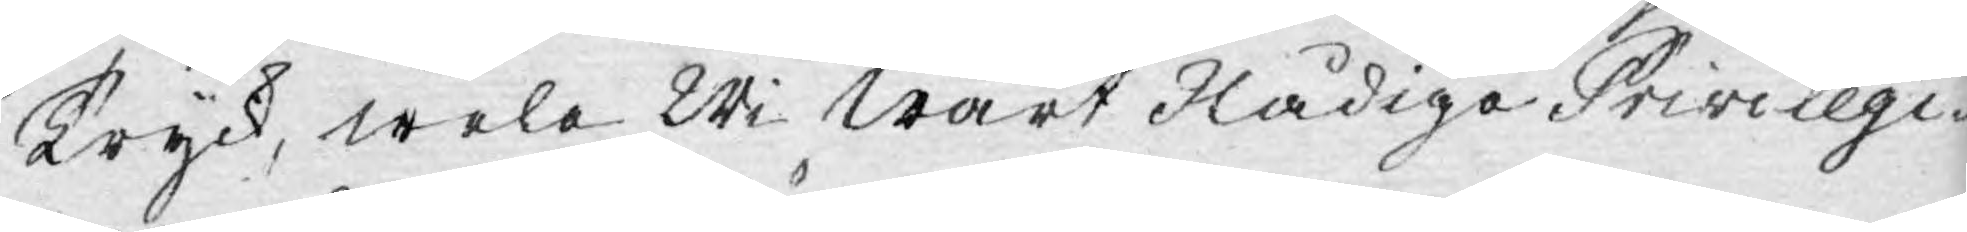Tryck, wela Wi Wårt Nådiga Privilegi-
